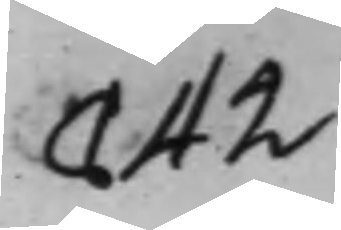842
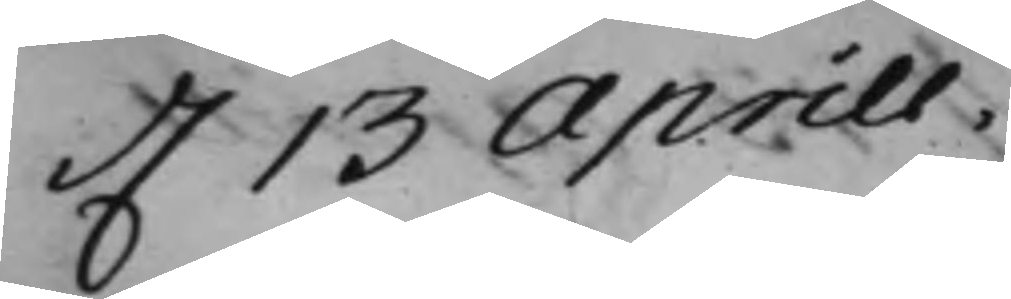d. 13 Aprill.
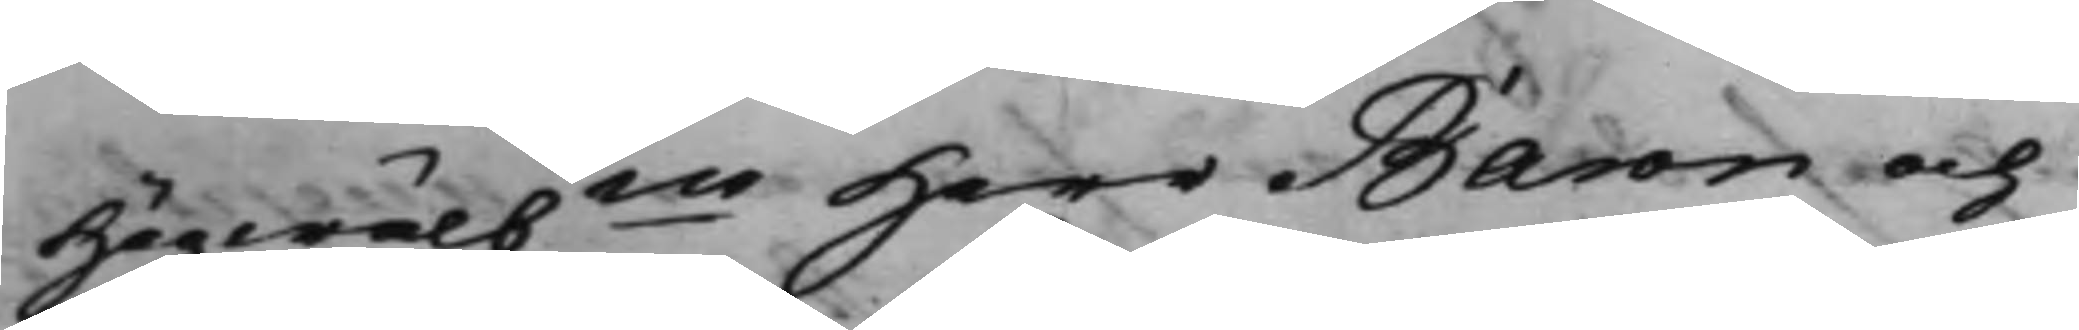Högwälbne Herr Baron och
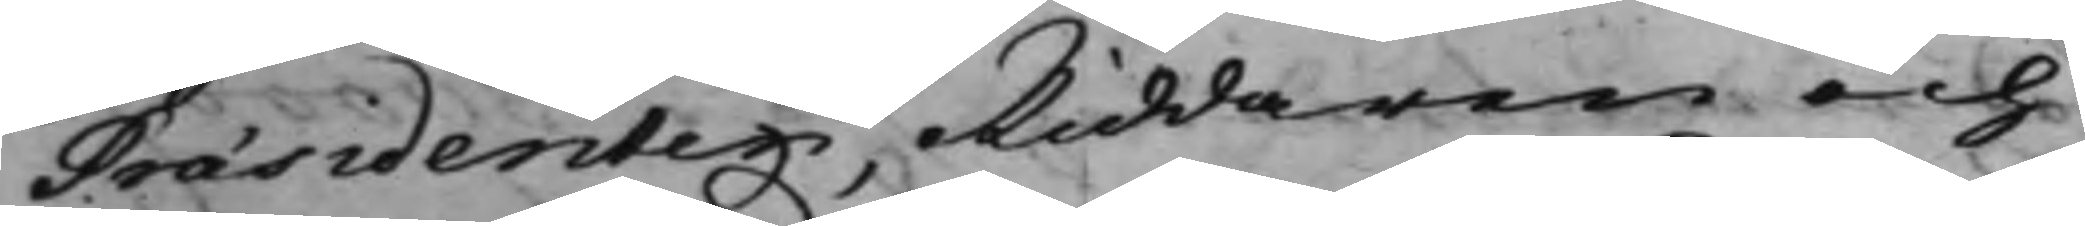Præsidenten, Riddaren och
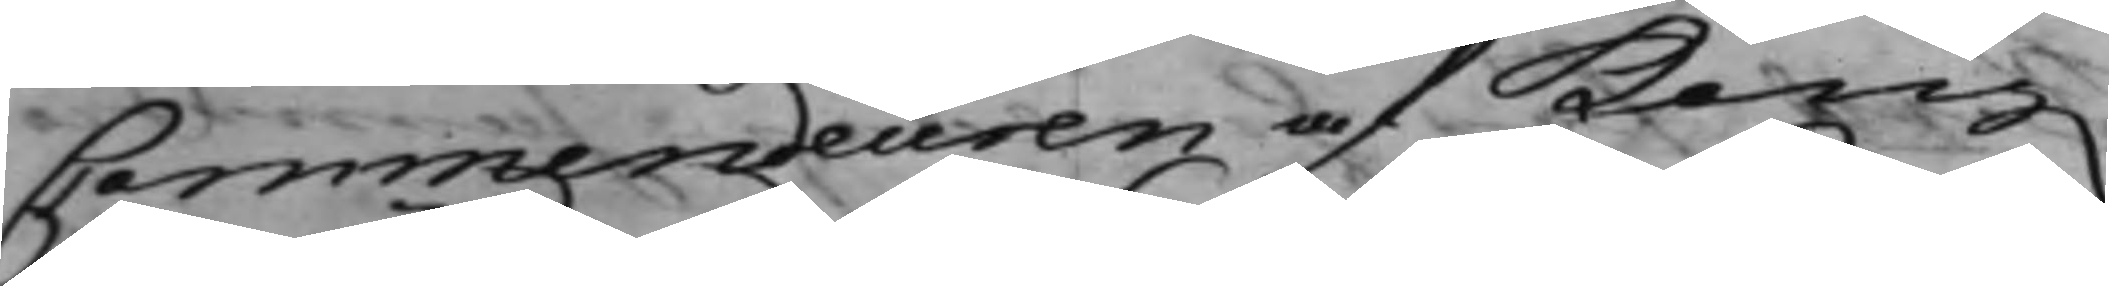Commendeuren af Kong.
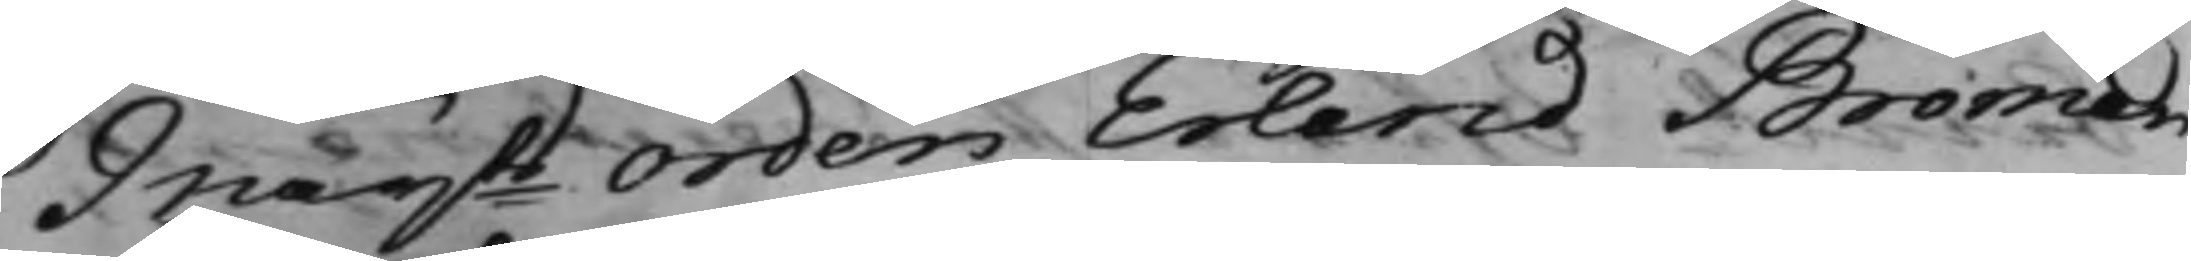Maijts Orden Erland Broman
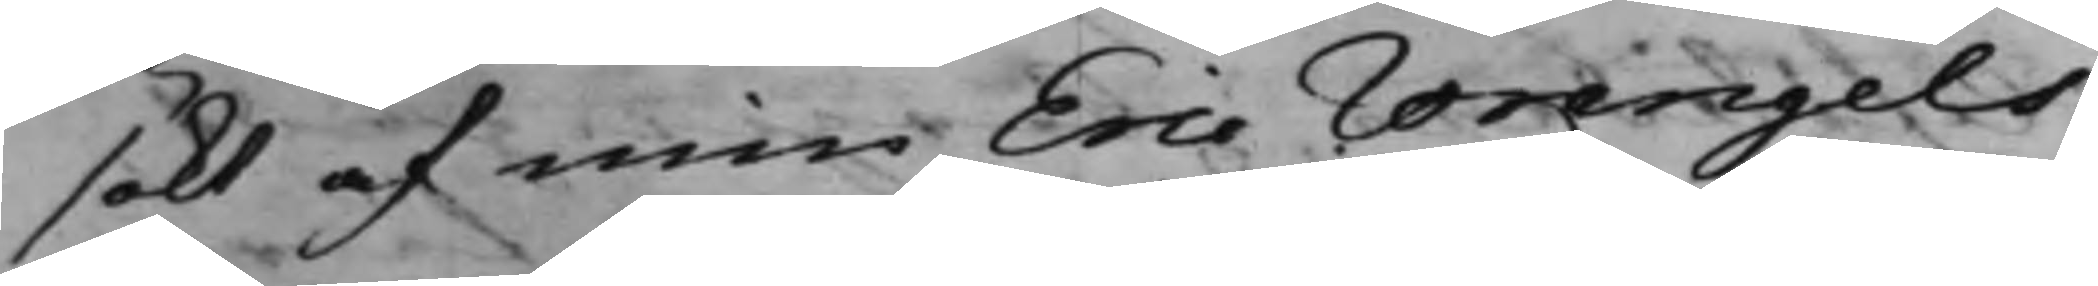sökt af min Eric Wrangels
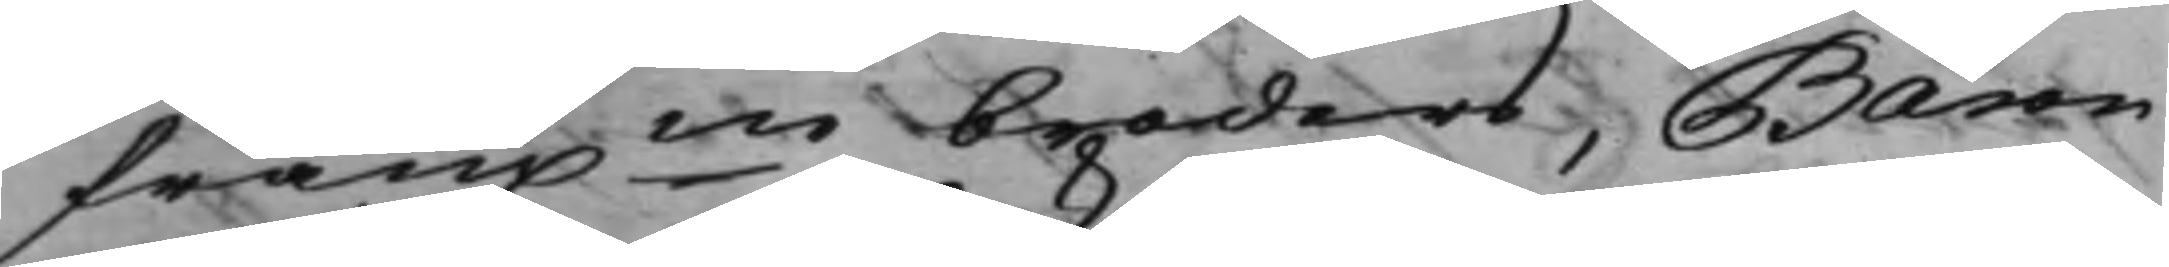framne broders Baron
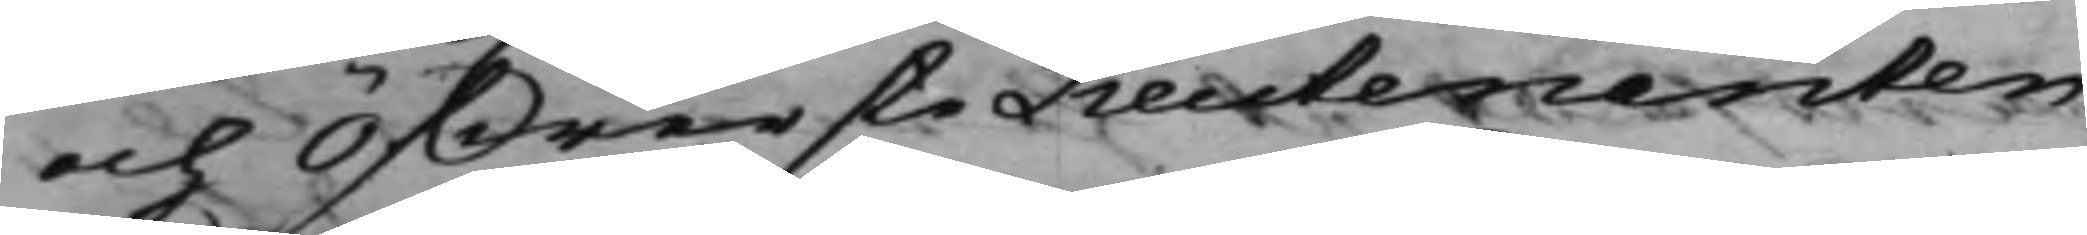och ÖfwersteLieutenanten
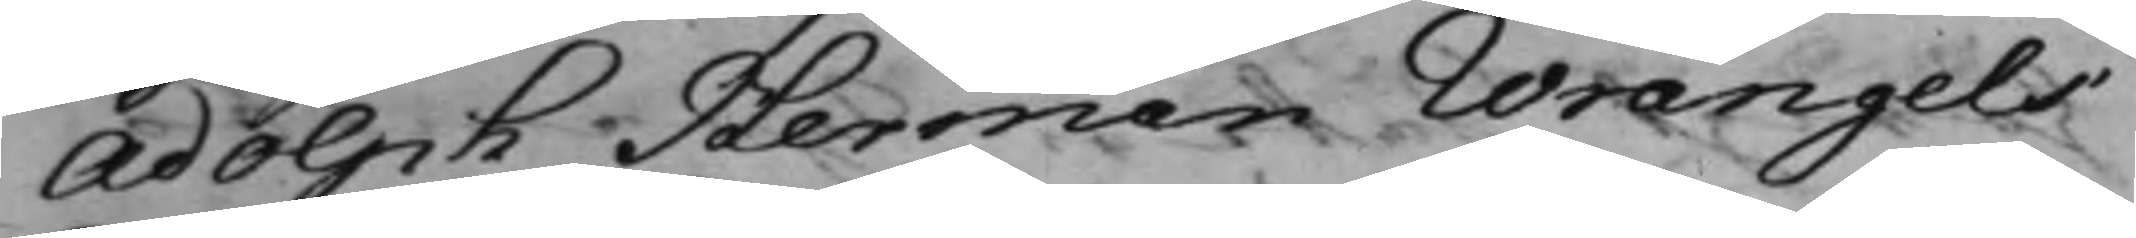Adolph Herman Wrangels
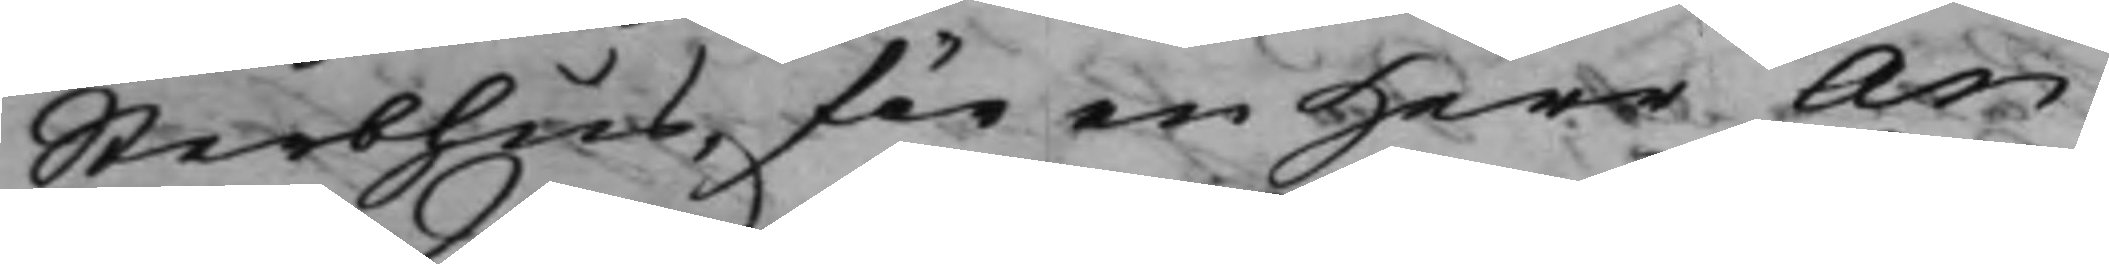Sterbhus, för en Herr An¬
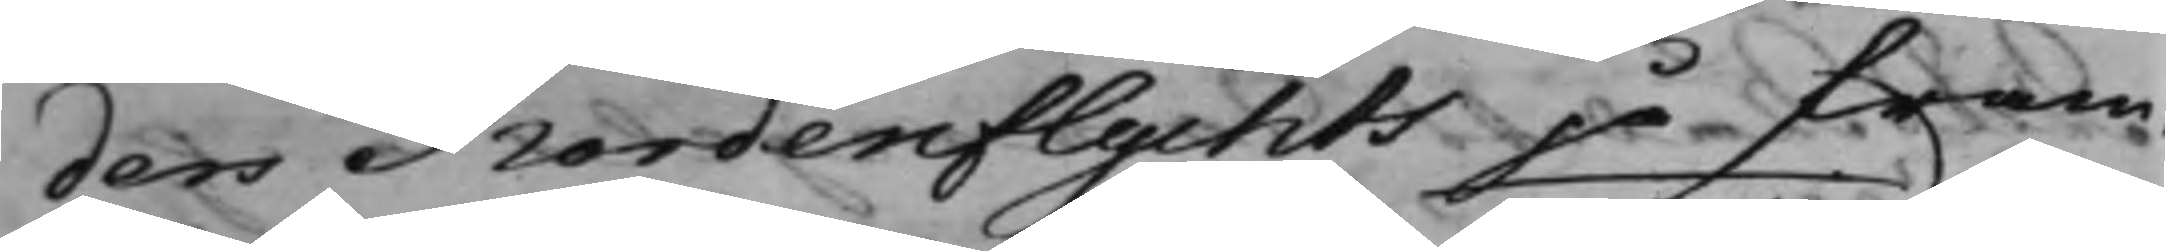ders Nordenflychts på fram¬
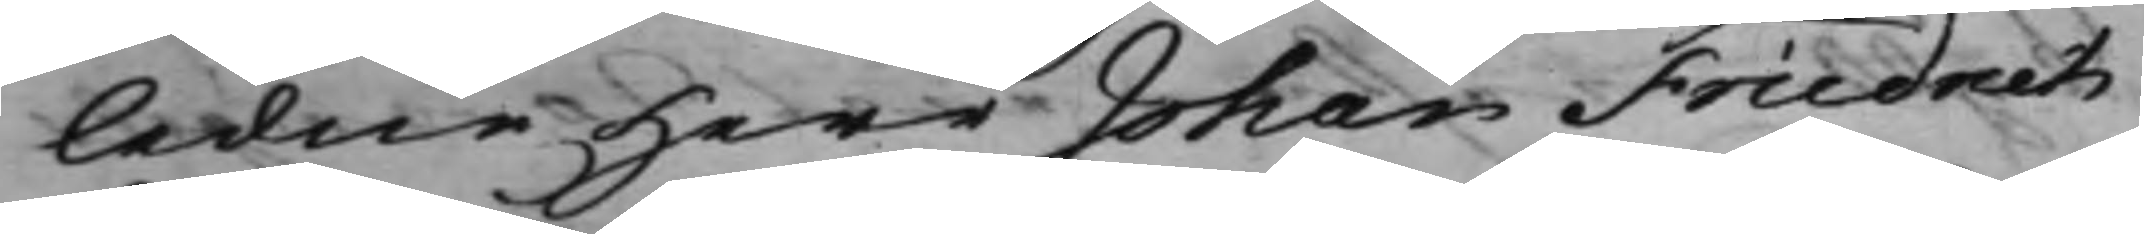ledne Herr Johan Friedrich
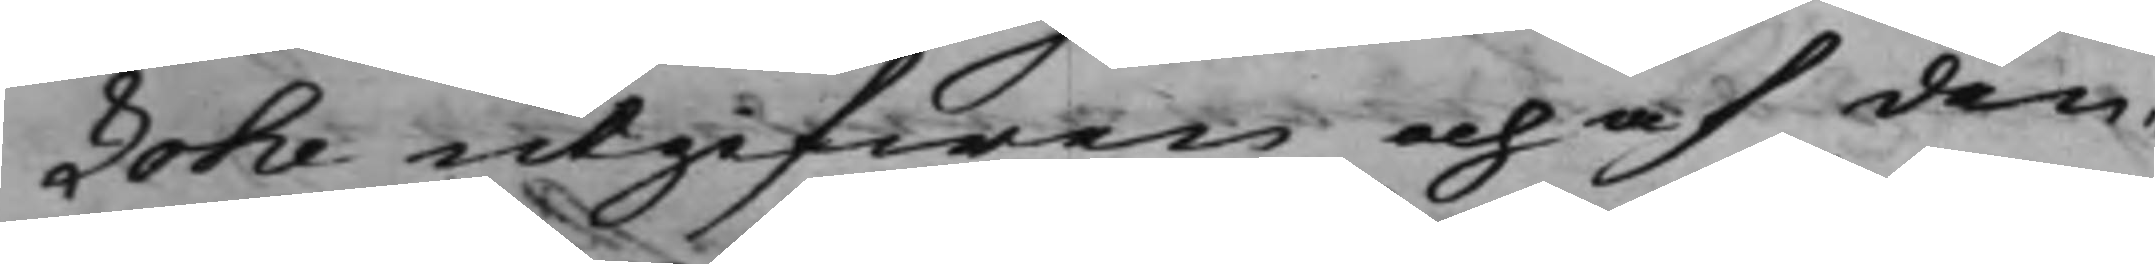Lohe utgifwen och af den¬
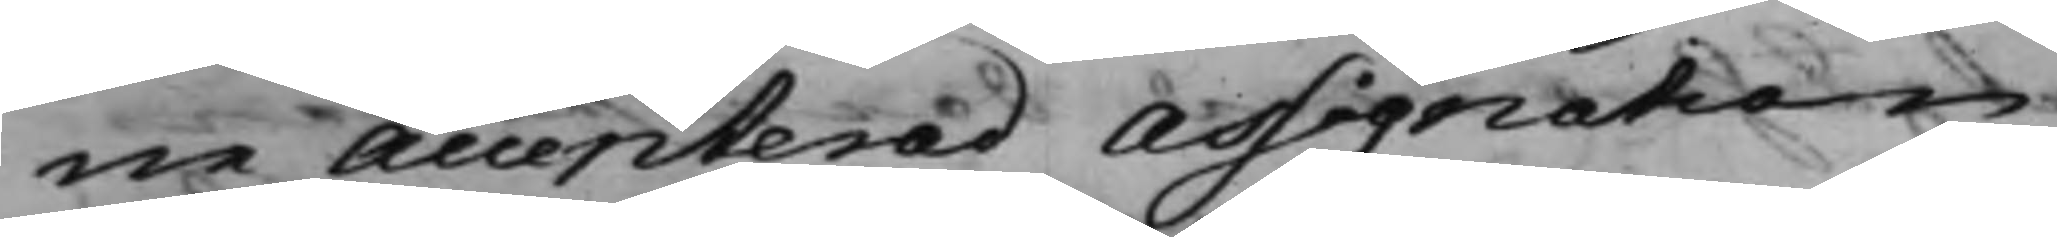ne accepterad Assignation
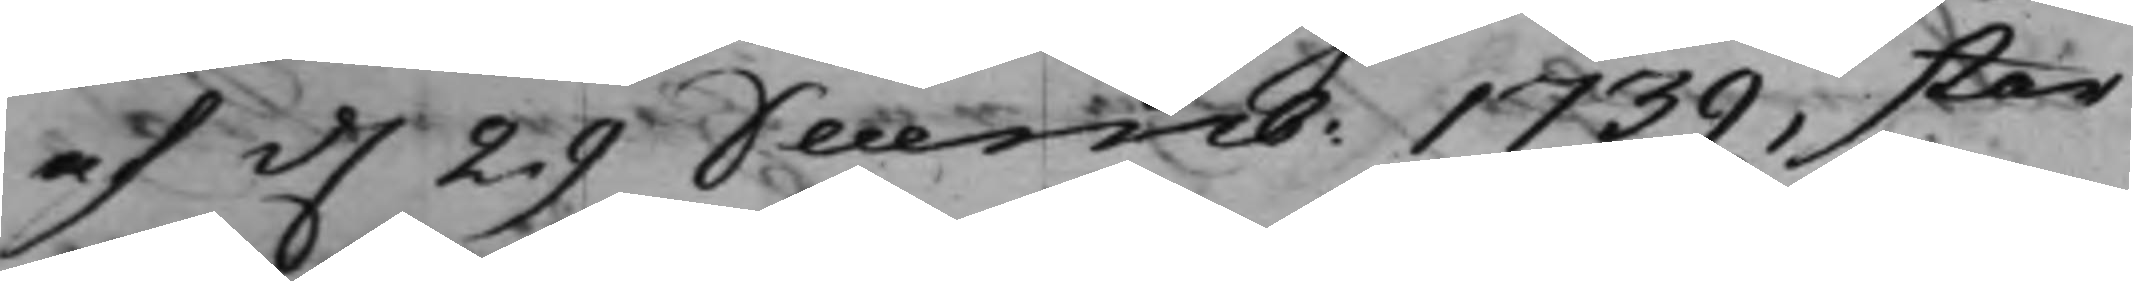af d. 29 Decemb: 1739, stor
